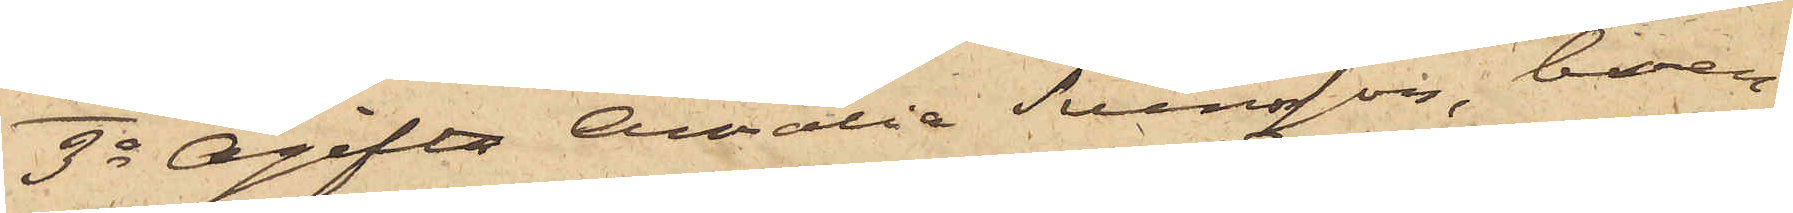3o Ogifta Amalia Svensson, boen¬
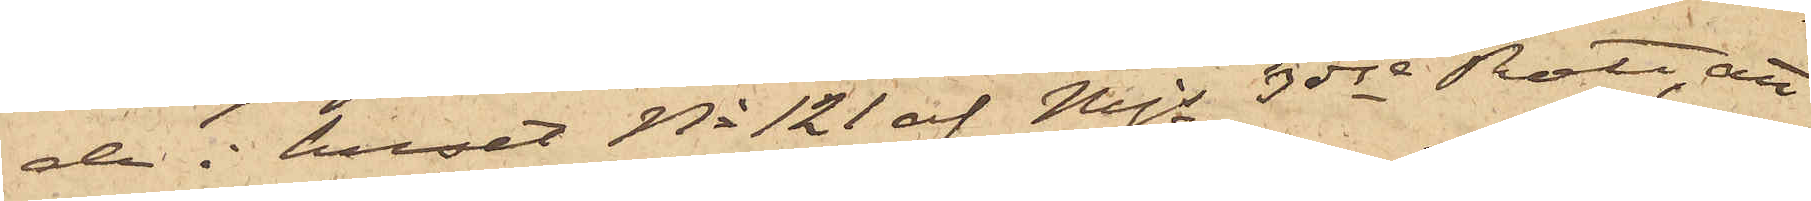de i huset No 121 af Mjs 3dje Rote, att
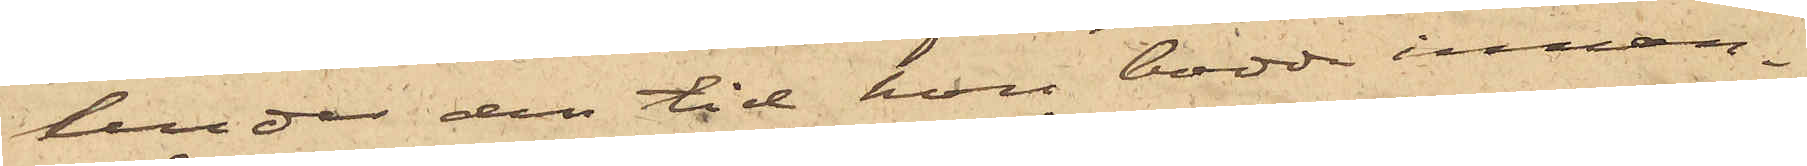under den tid hon bodde innan¬
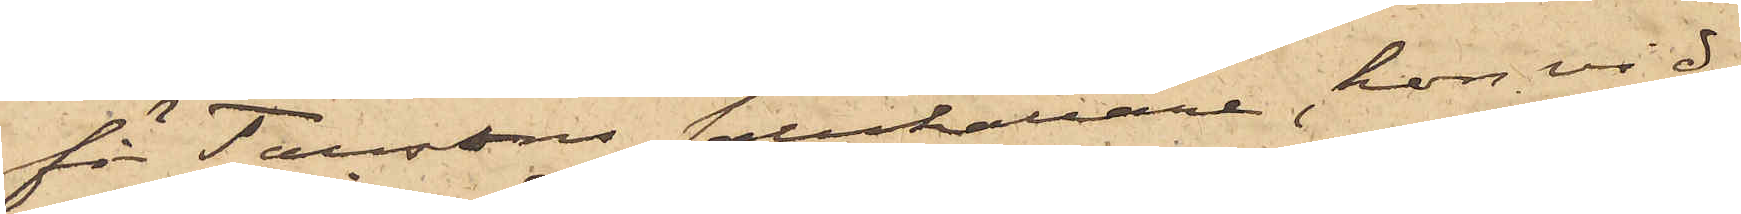för Taussons salukällare, hon vid
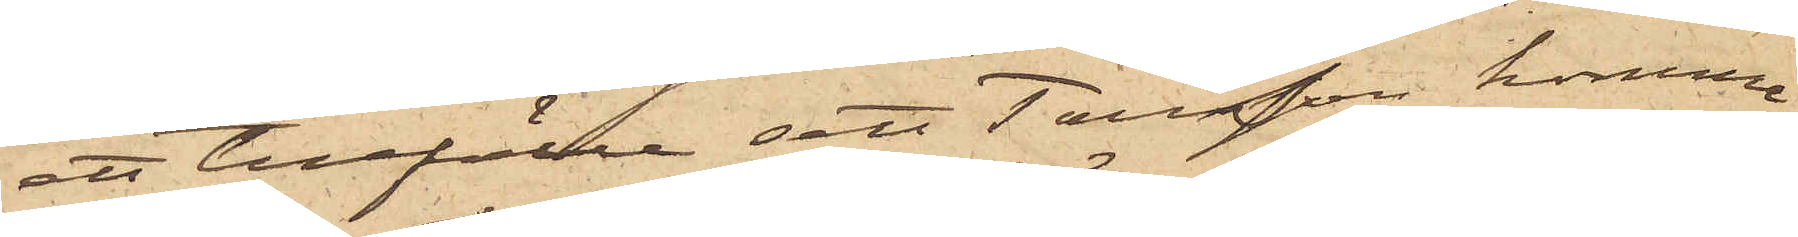ett tillfälle sett Tausson komma
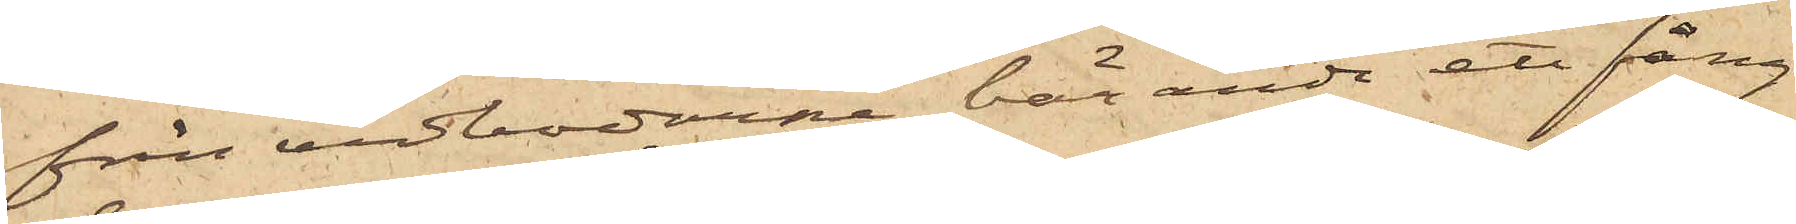från vedbodarne bärande ett fång
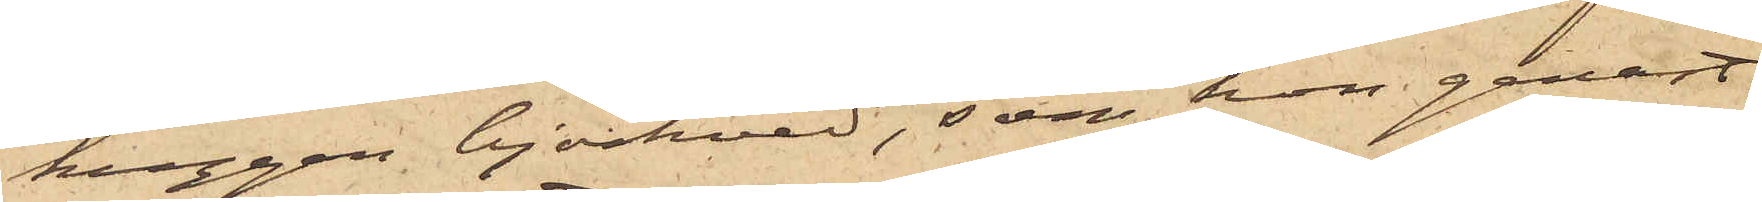huggen björkved, som hon genast
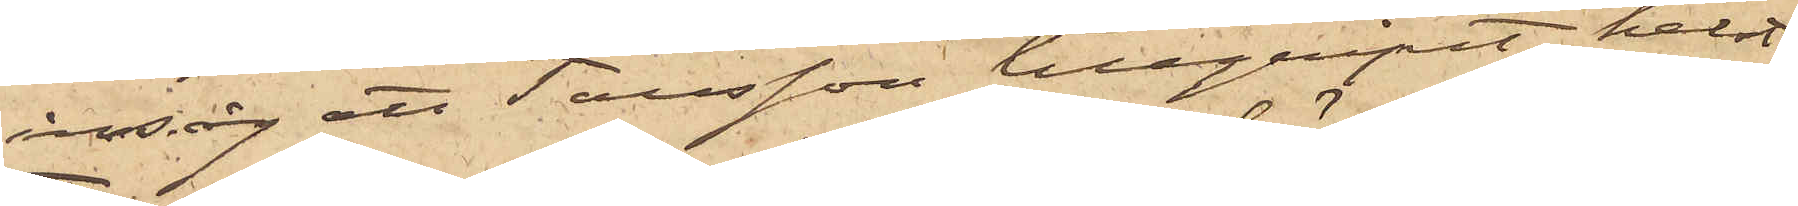insåg att Tausson tillgripit, helst
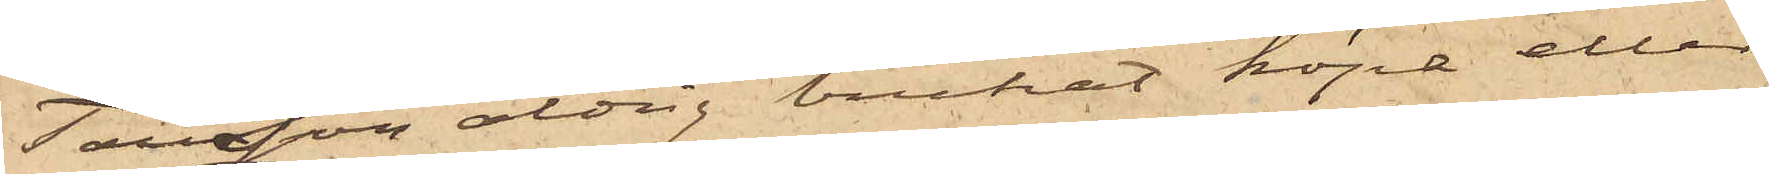Tausson aldrig brukat köpa eller
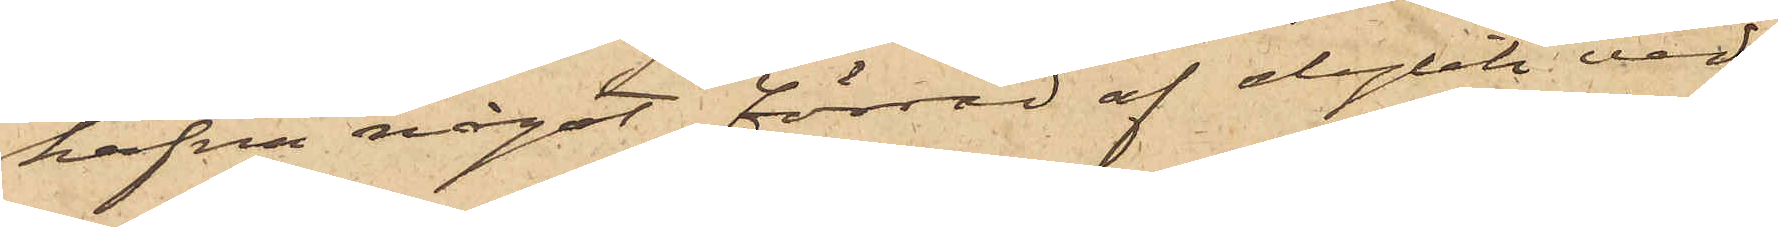hafva något förråd af dylik ved.
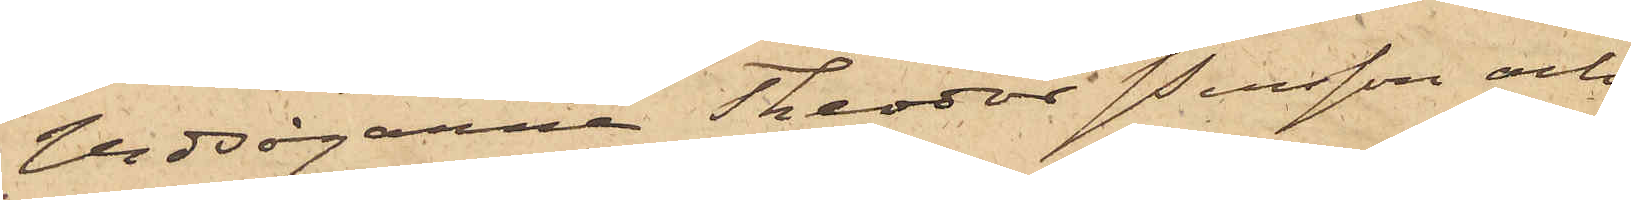Vedsågarna Theodor Svensson och 
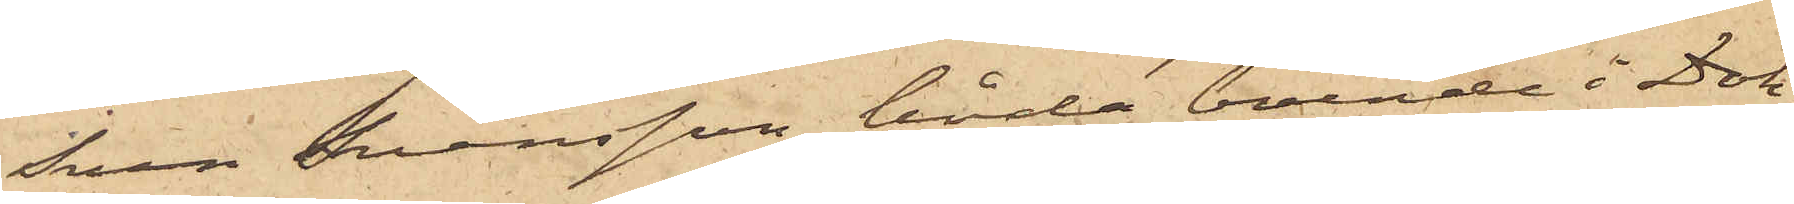Sven Svensson, båda boende i Dok¬
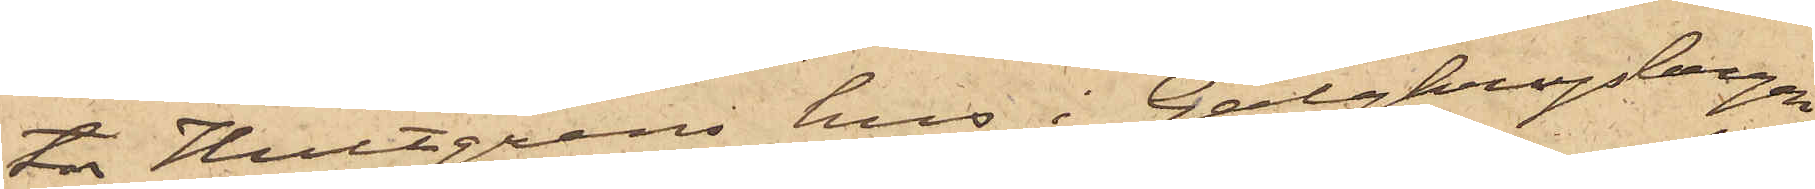tor Hultgrens hus i Galgkrogsbergen,
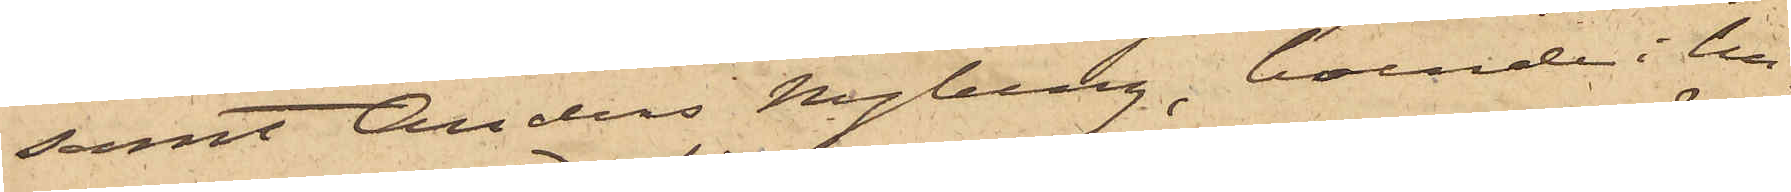samt Anders Nyberg, boende i hu¬
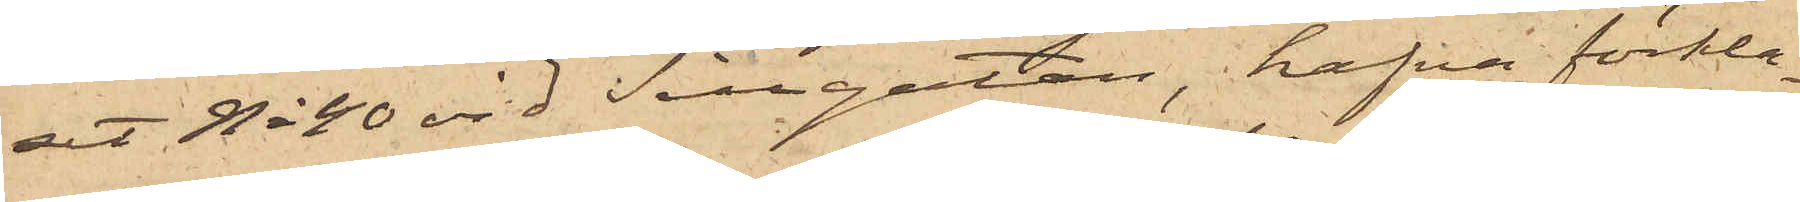et No 40 vid Sillgatan, hafva förkla¬
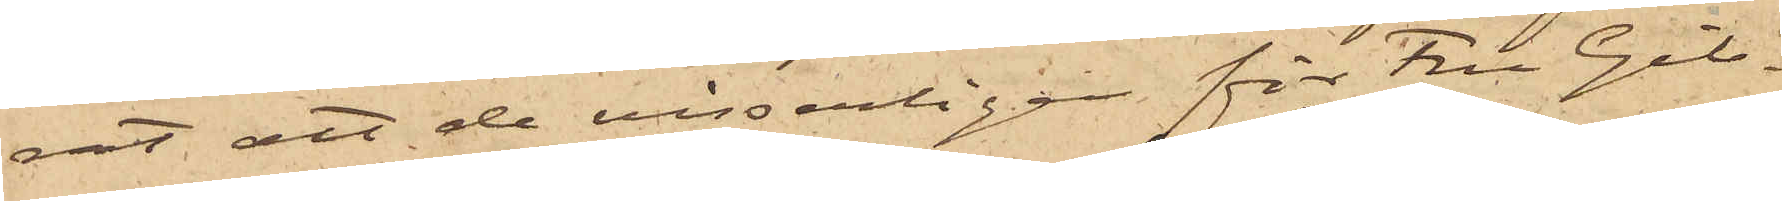rat, att de visserligen för Fru Gib¬
